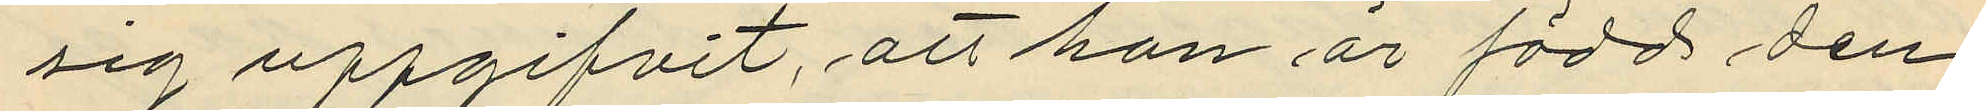sig uppgifvit, att han är född den
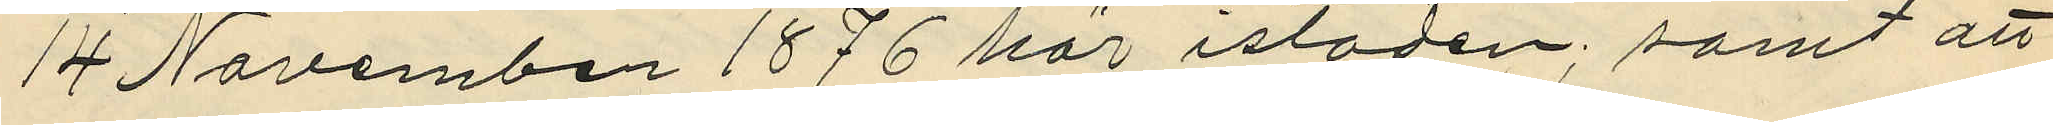14 November 1876 här istoden; samt att
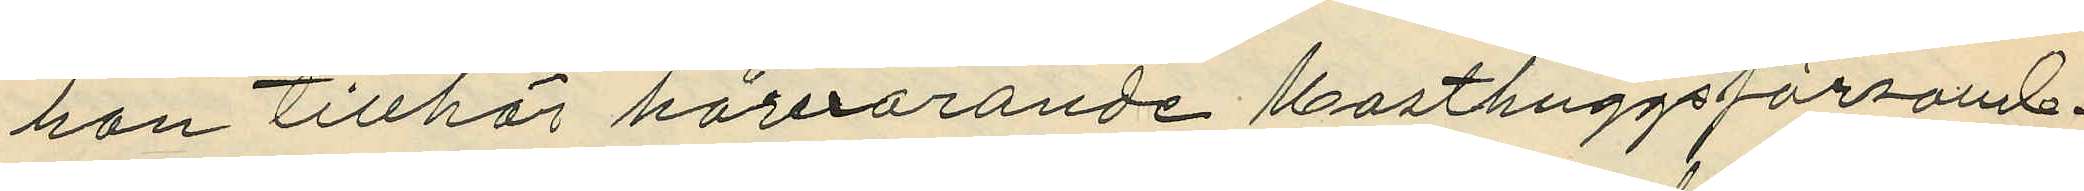han tillhör härvarande Masthuggsförsaml.
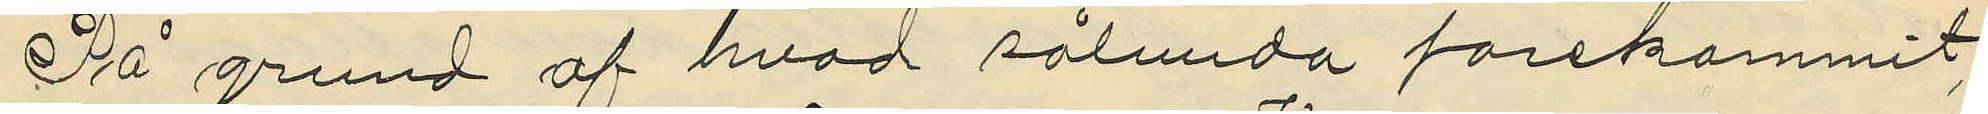På grund af hvad sålunda förekommit
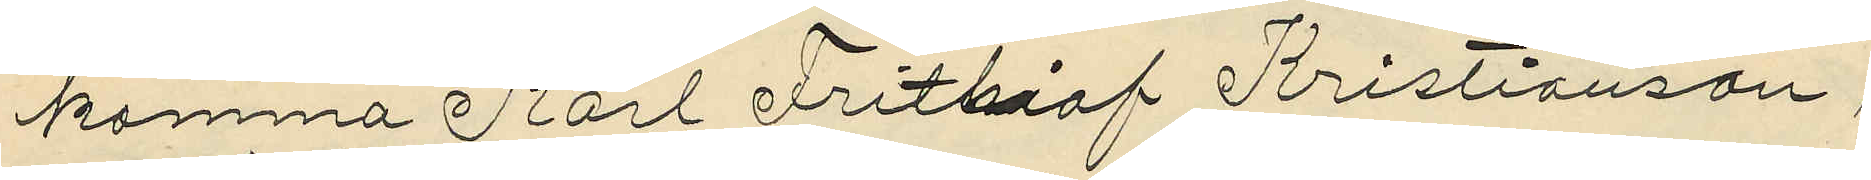komma Karl Frithaof Kristianson,
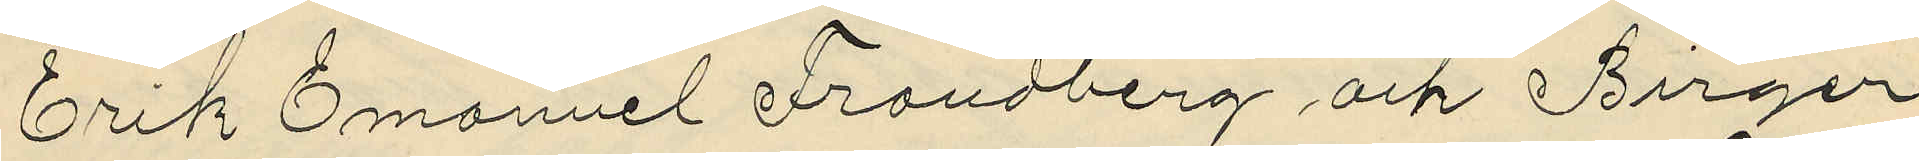Erik Emanuel Frändberg och Birger
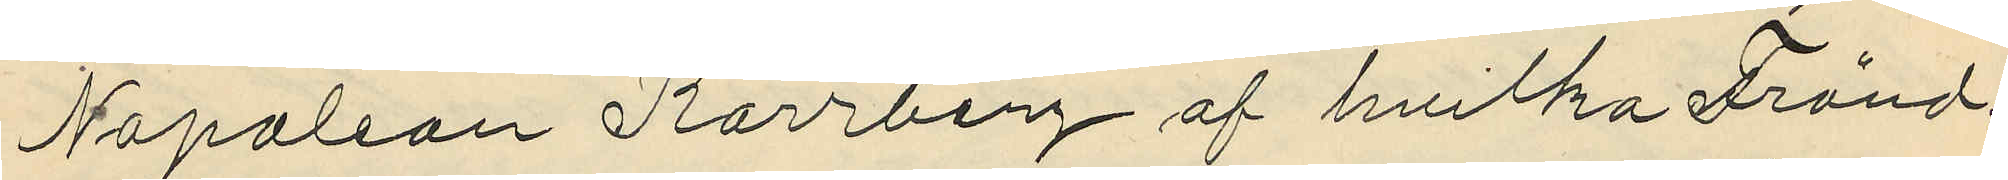Napolion Kärrberg af hvilka Fränd¬
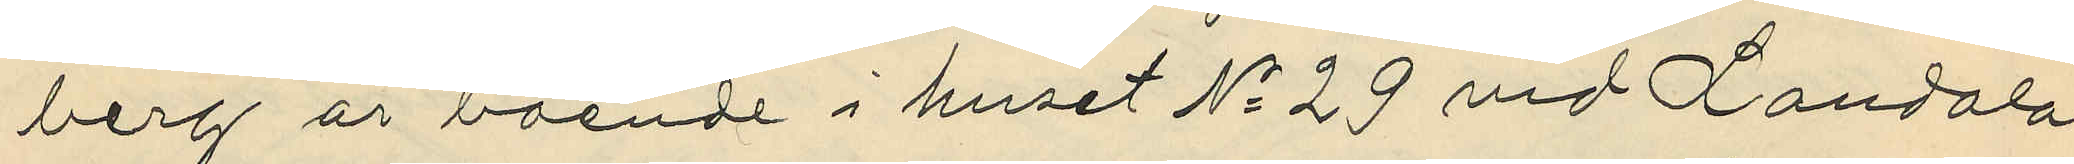berg är boende i huset No 29 vid Landala
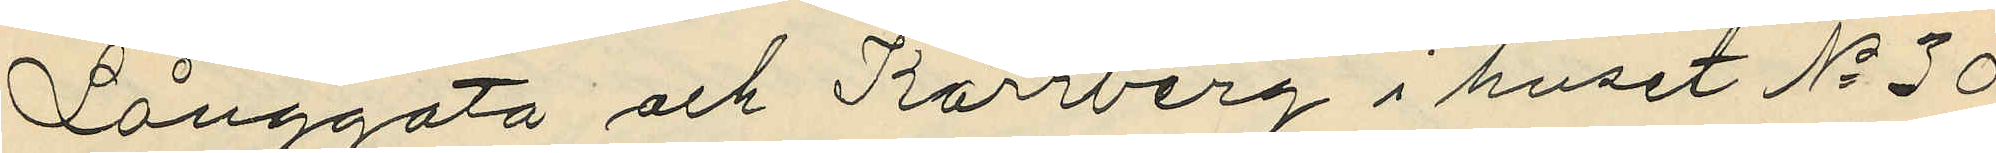Långgata och Kärrberg i huset No 30
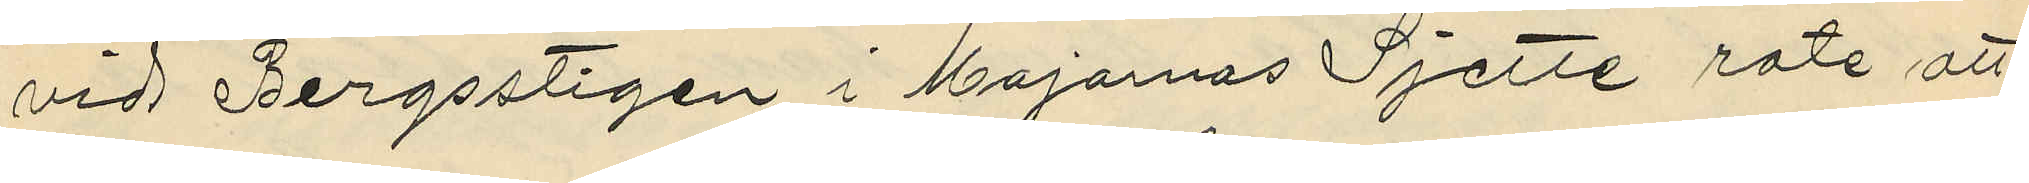vid Bergsstigen i Majornas Sjette rote att
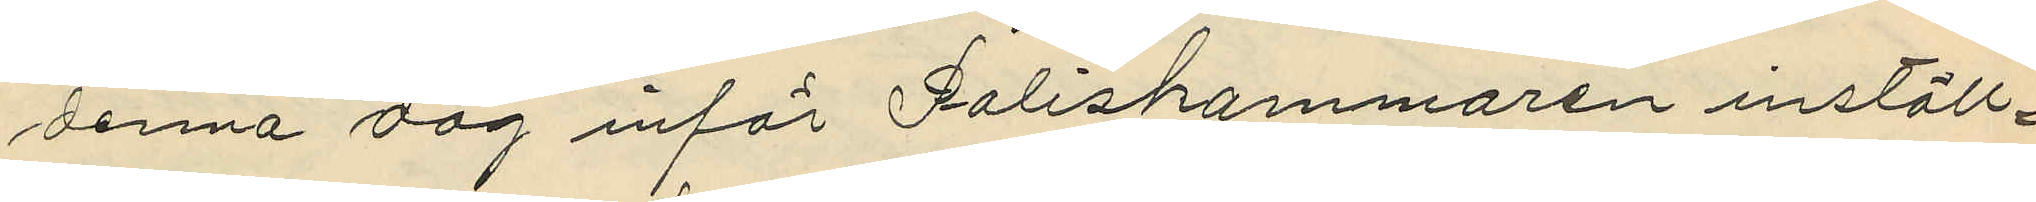denna dag inför Poliskammaren inställ¬
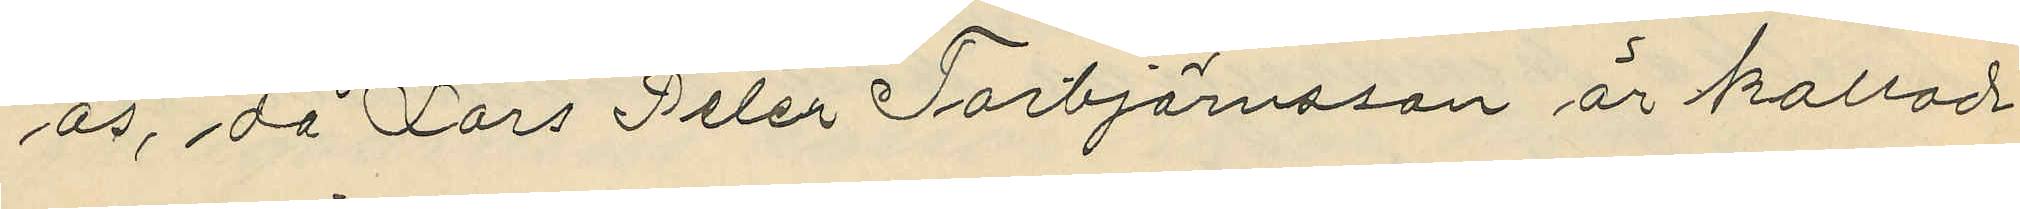ås, då Lars Peter Torbjörnsson är kallad
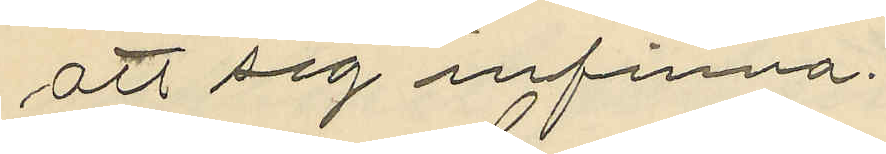att sig infinna.
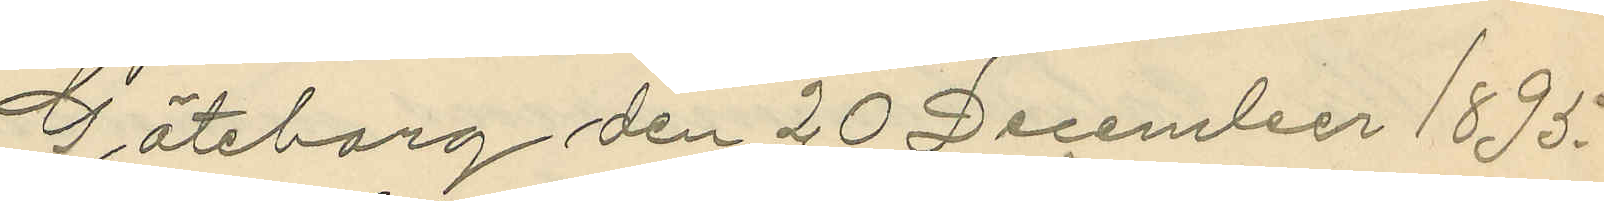Göteborg den 20 December 1895.
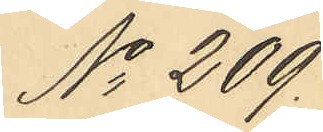No 209.
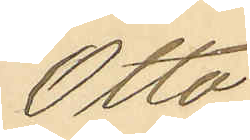Otto
